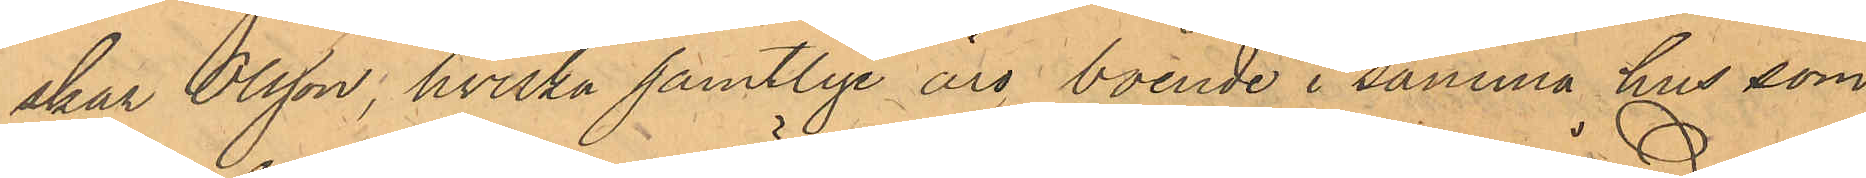skar Olsson, hvilka samtlige äro boende i samma hus som
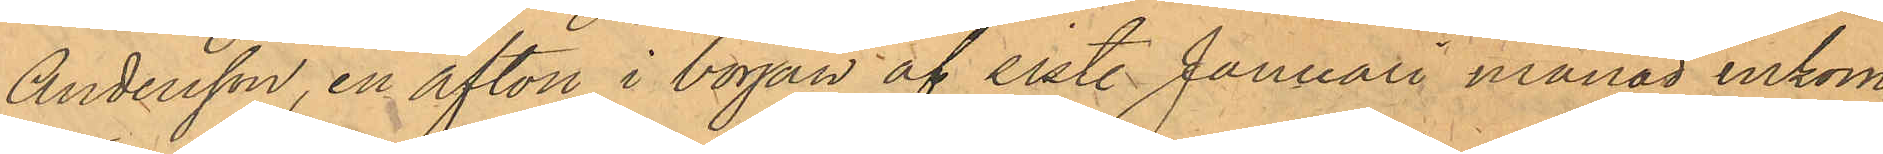Andersson, en afton i början af sist. Januari månad inkom¬
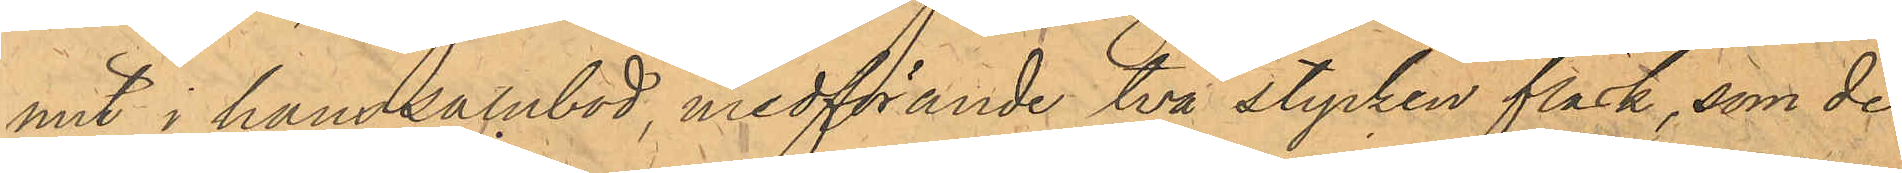mit i hans salubod, medförande två stycken fläsk, som de
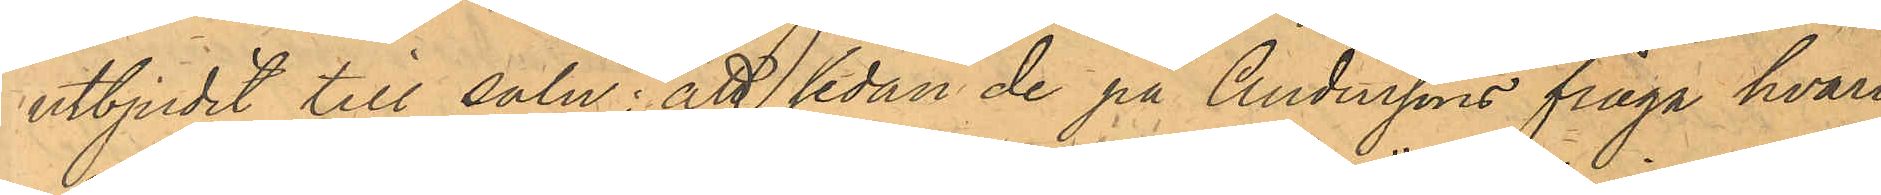utbjudit till salu; att sedan de på Anderssons fråga hvari¬
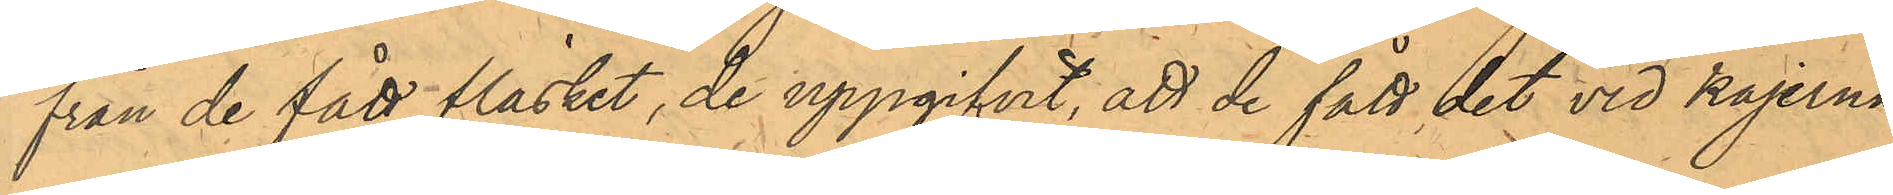från de fått fläsket, de uppgifvit, att de fått det vid kajerna
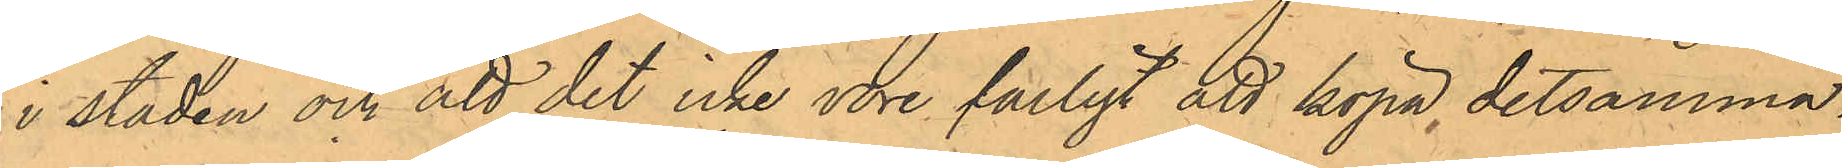i staden och att det inte vore farligt att köpa detsamma,
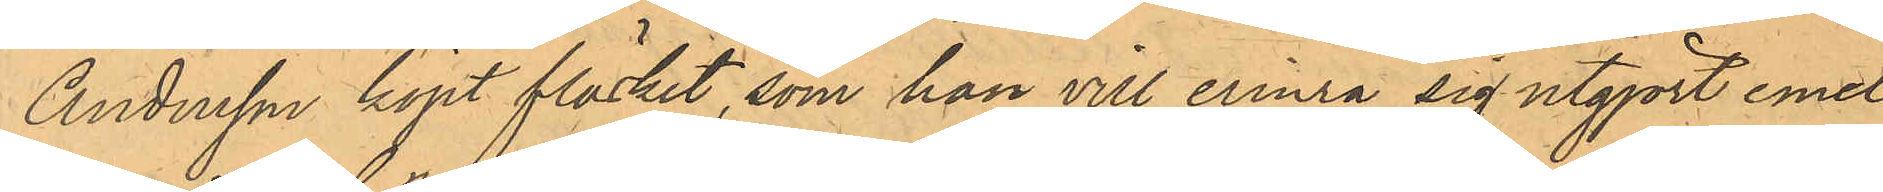Andersson köpt fläsket, som han vill erinra sig utgjort emel¬
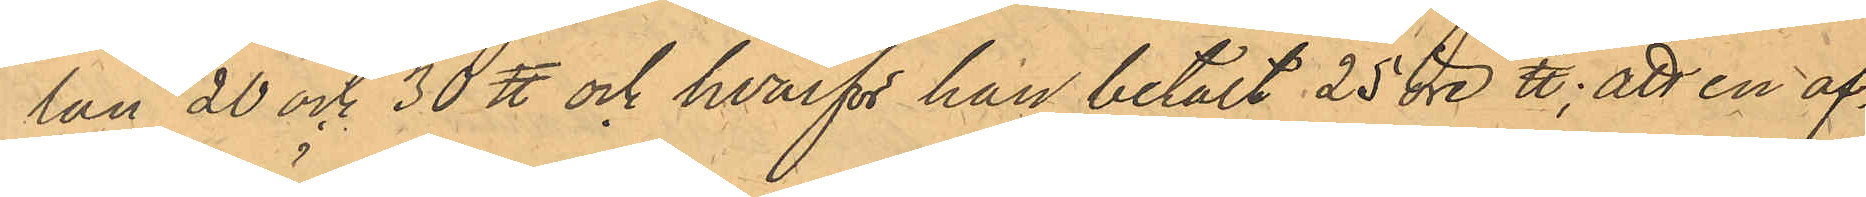lan 20 och 30 ℔ och hvarför han betalt 25 öre ℔; att en af¬
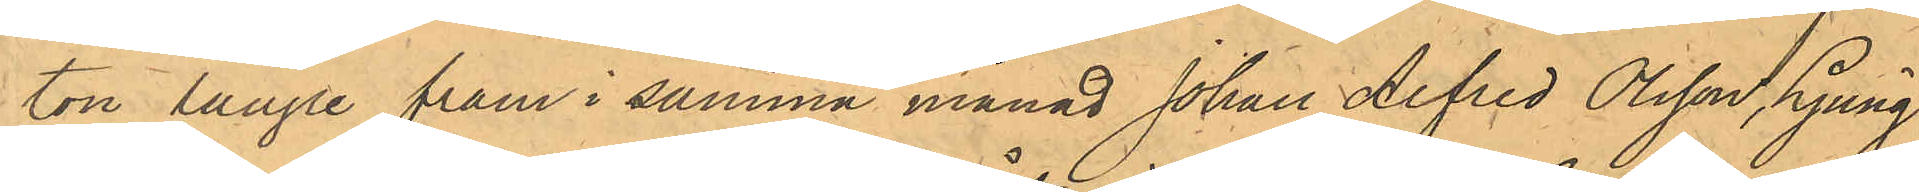ton längre fram i samma månad Johan Alfred Olsson. Ljung¬
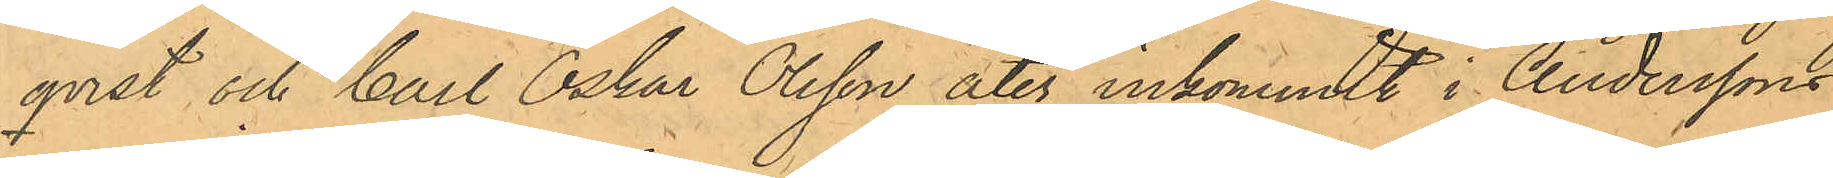qvist och Carl Oskar Olsson åter inkommit i Anderssons
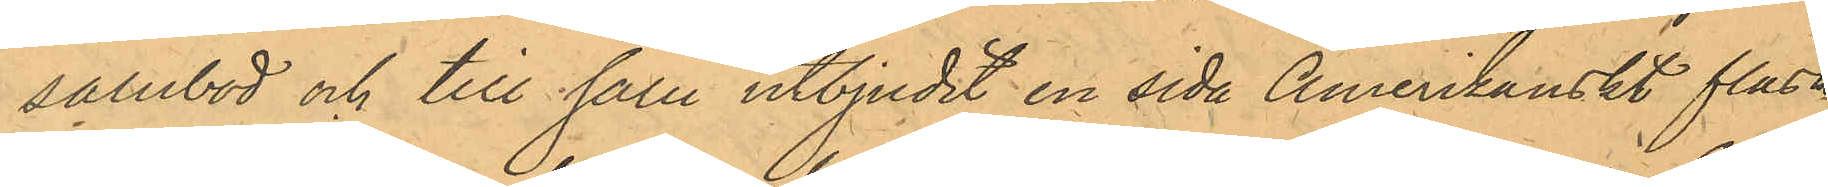salubod och till salu utbjudit en sida Amerikanskt fläsk,
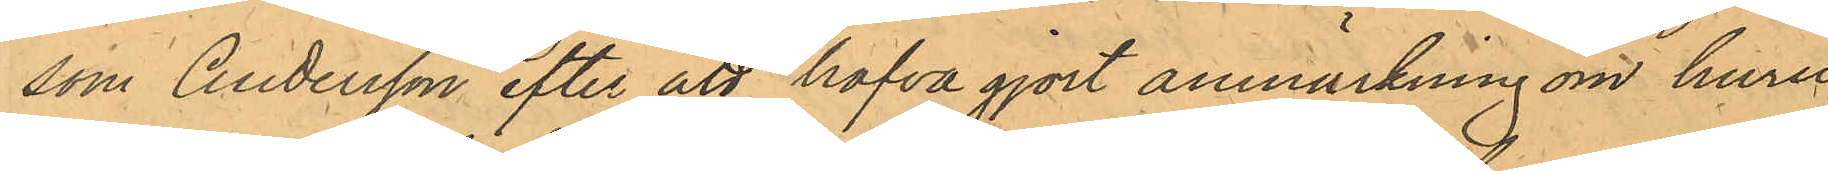som Andersson efter att hafva gjort anmärkning om huru¬
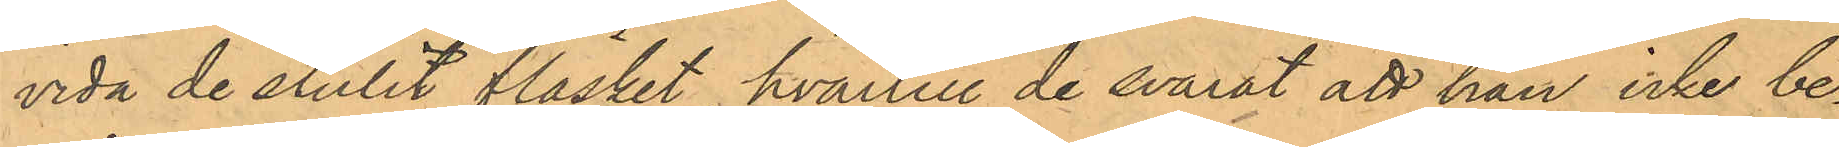vida de stulit fläsket, hvartill de svarat att han icke be¬
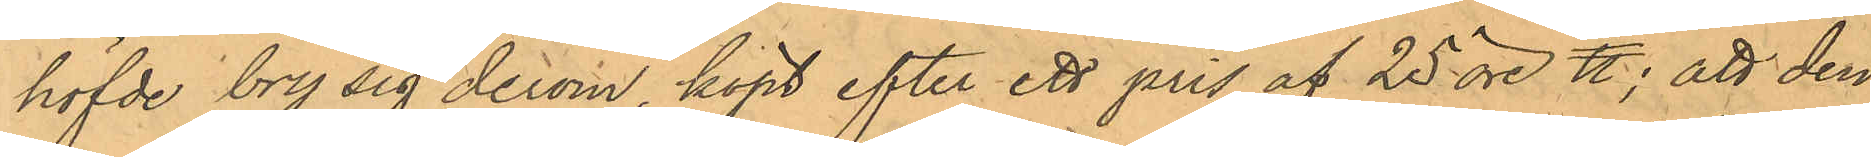höfde bry sig derom, köpt efter ett pris af 25 öre ℔; att den
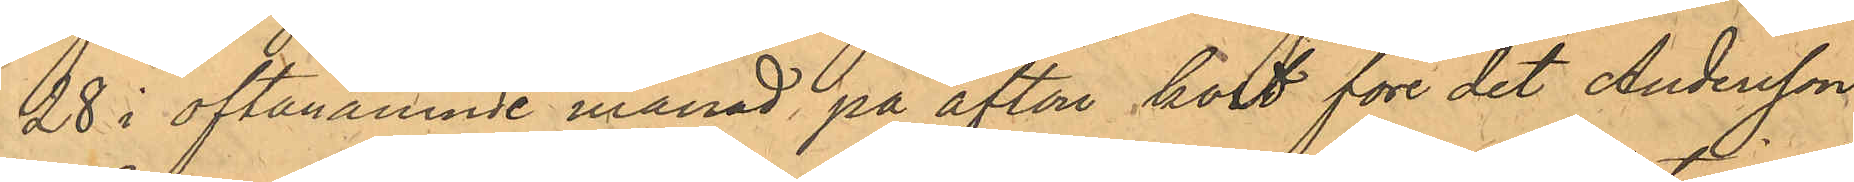28 i oftanämnde månad på afton kort före det Andersson
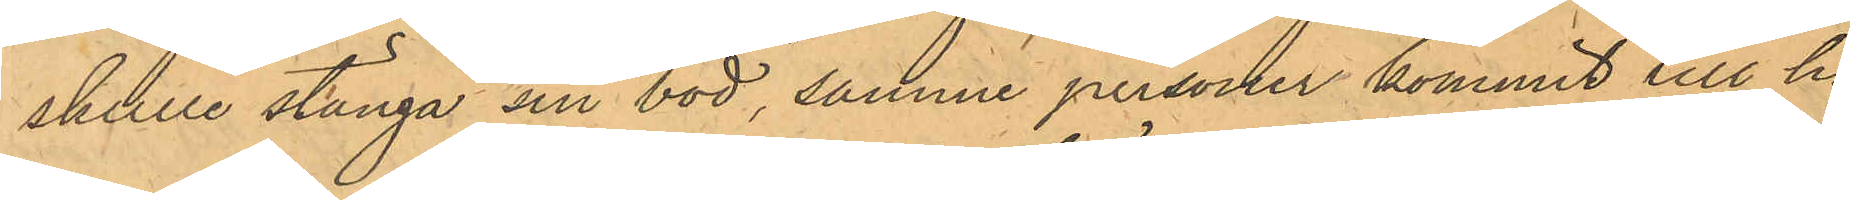skulle stänga sin bod, samme personer kommit till ho¬
